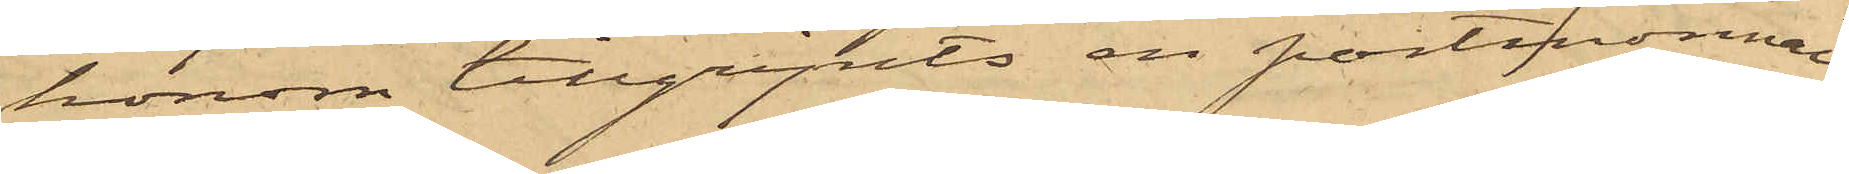honom tillgripits en portmonnai
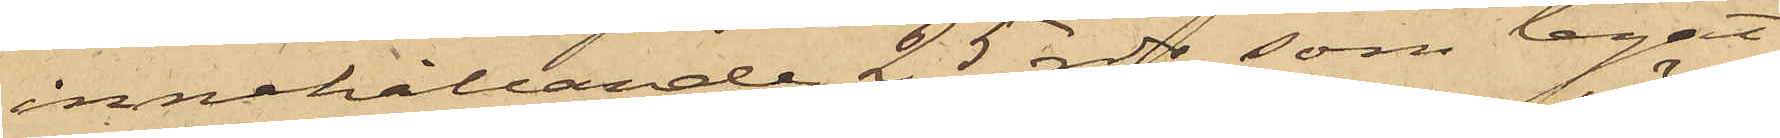innehållande 25 rdr, som legat
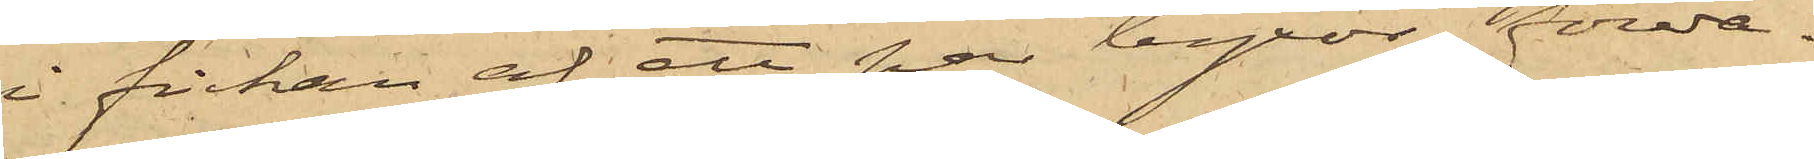i fickan af ett par byxor förva¬
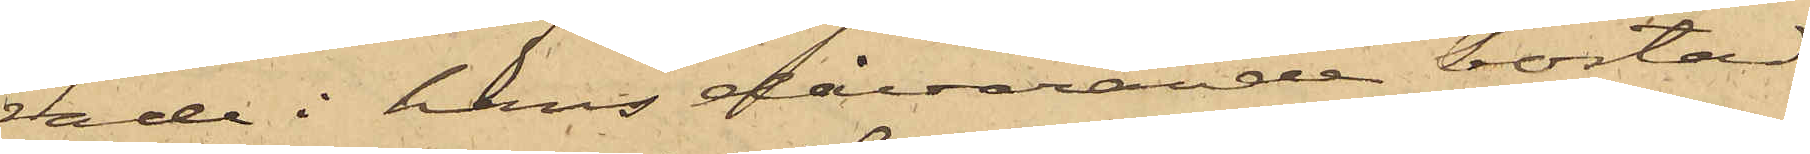rade i hans dåvarande bostad
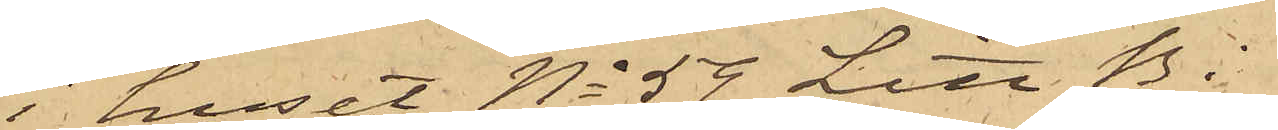i huset No 59 Litt B i
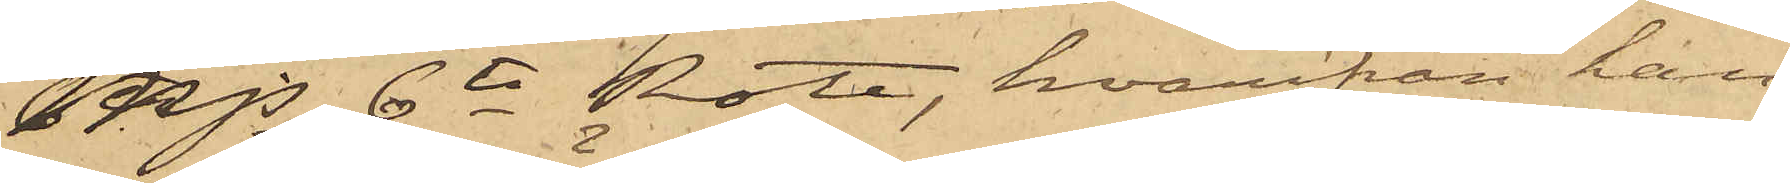Mjs 6te Rote, hvarifrån han
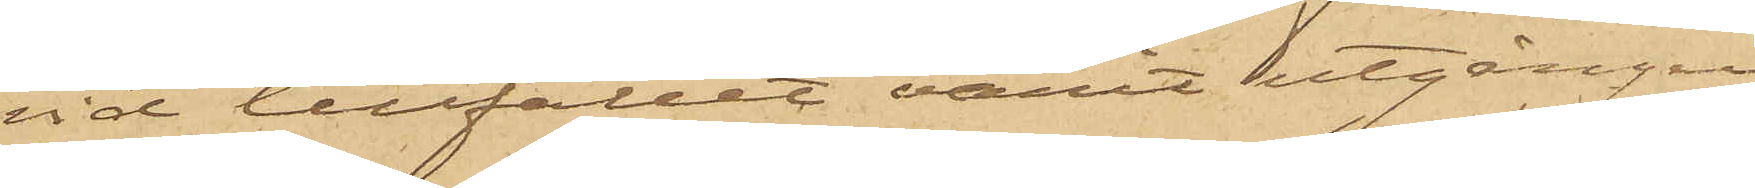vid tillfället varit utgången,
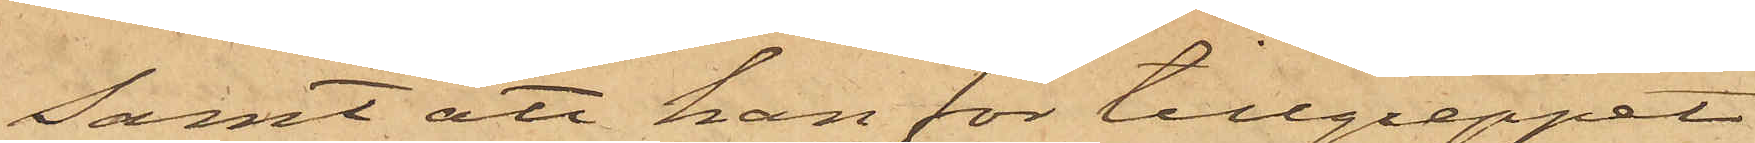Samt att han för tillgreppet
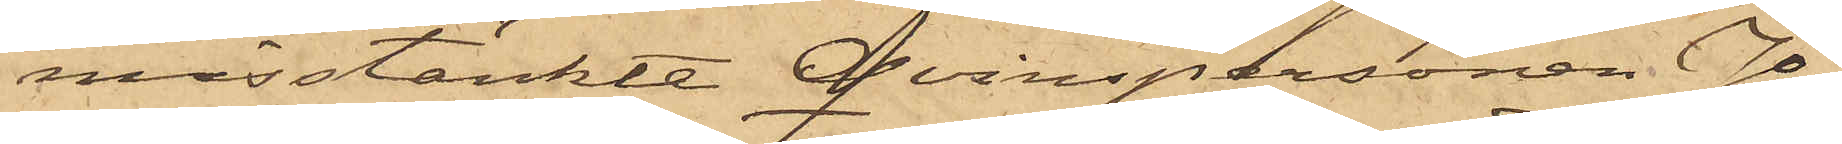misstänkte Qvinspersonen Jo¬
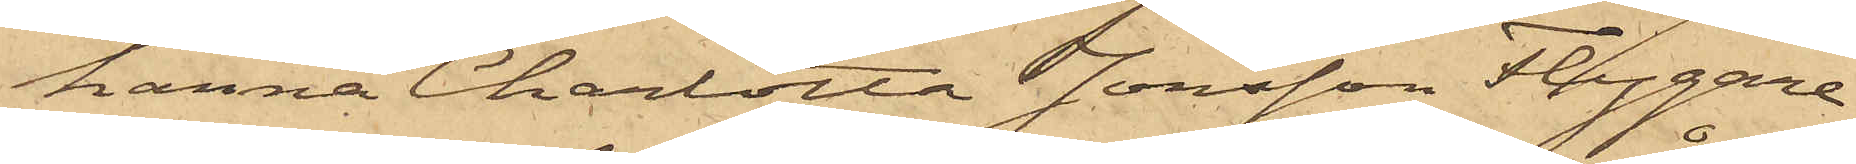hanna Charlotta Jonsson Flygare
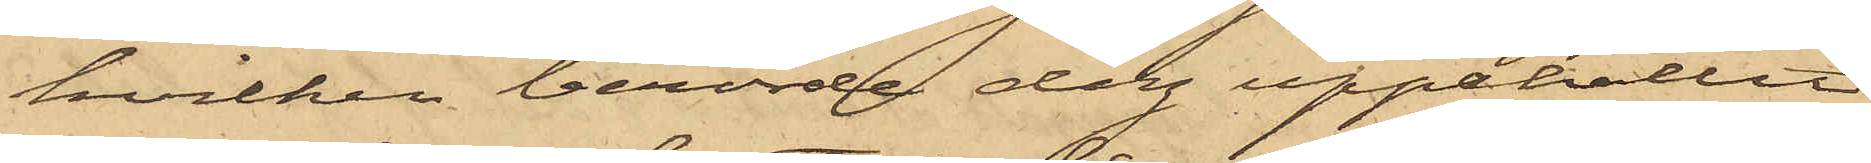hvilken berörde dag uppehållit
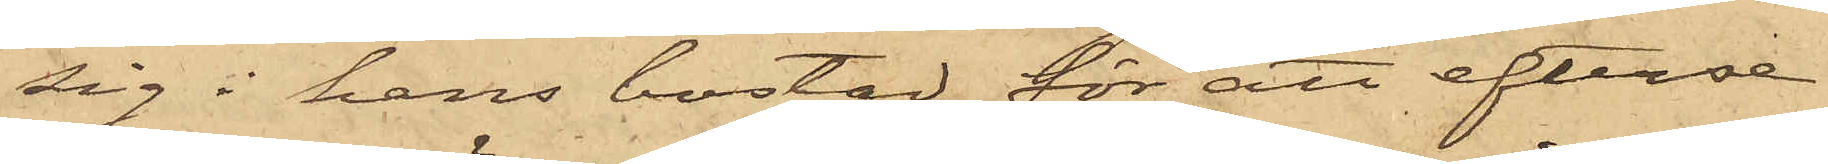sig i hans bostad för att efterse
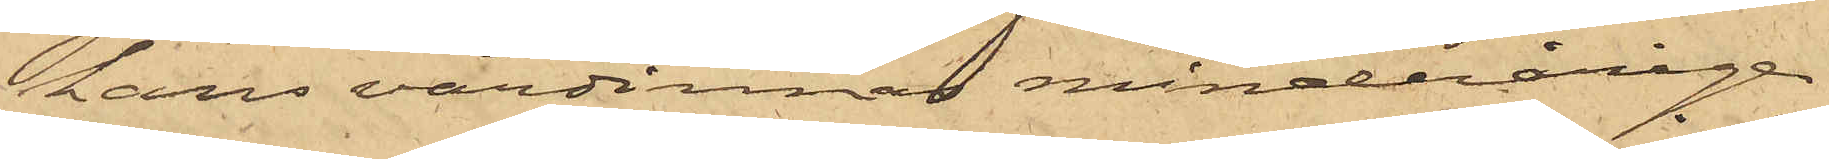hans värdinnas minderårige
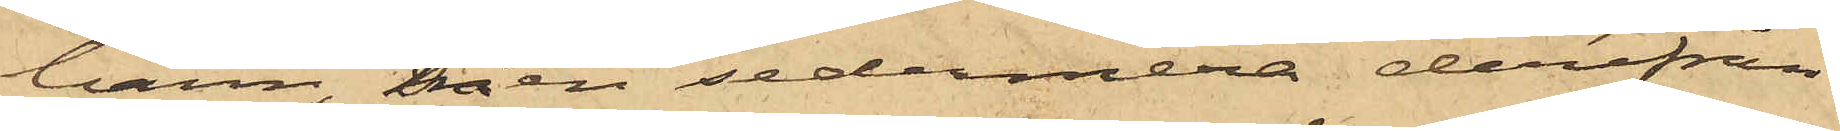barn men sedermera derifrån
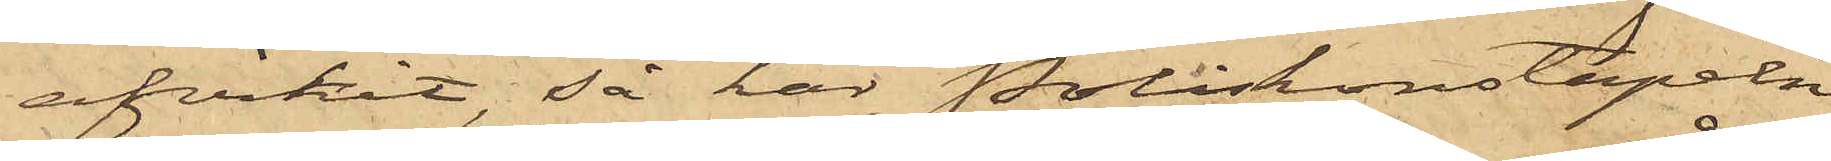afvikit, så har Poliskonstapeln
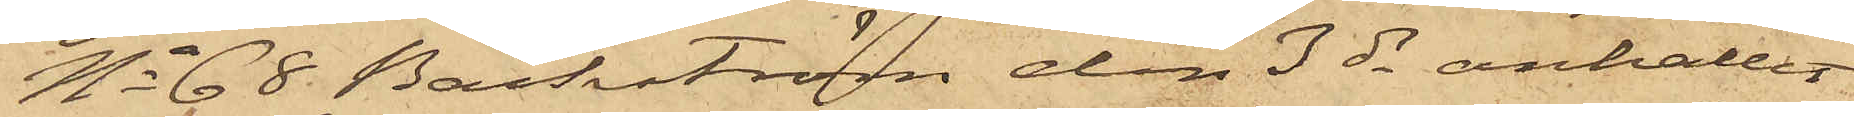No 68 Bäckström den 3 ds anhållit
